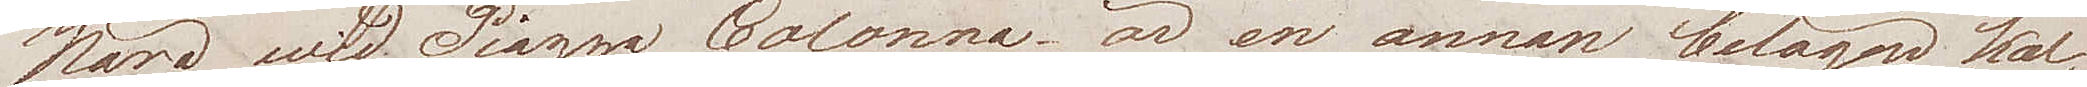Nära wid Piazza Colonna är en annan belägen kal¬
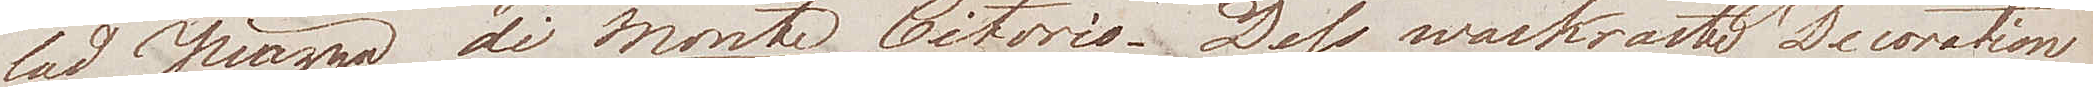lad Piazza di Monte Citorio. Dess wackraste Decoration
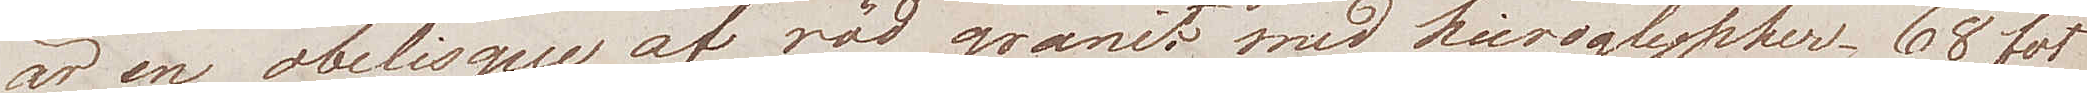är en obelisque af röd granit med hieroglypher. 68 fot
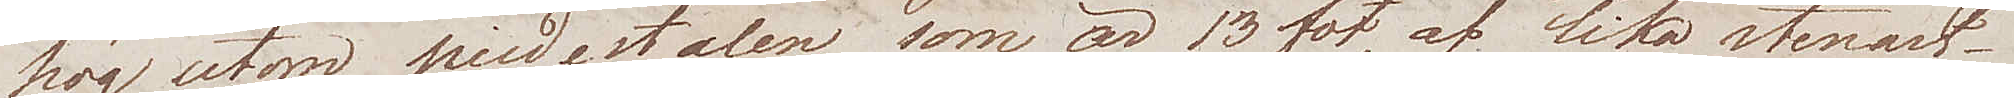hög utom piedestalen som är 13 fot, af lika stenart.
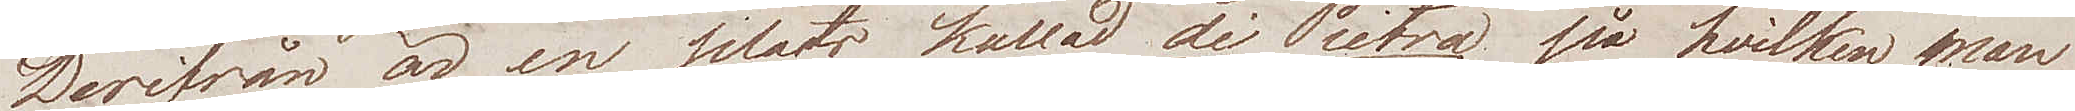Derifrån är en plats kallad di Pietra på hvilken man
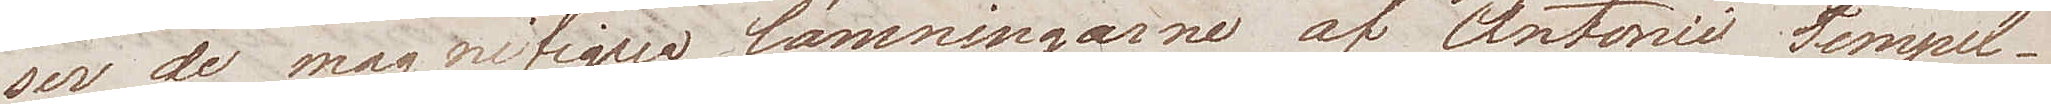ser de magnifiqua lämningarne af Antonii Tempel.
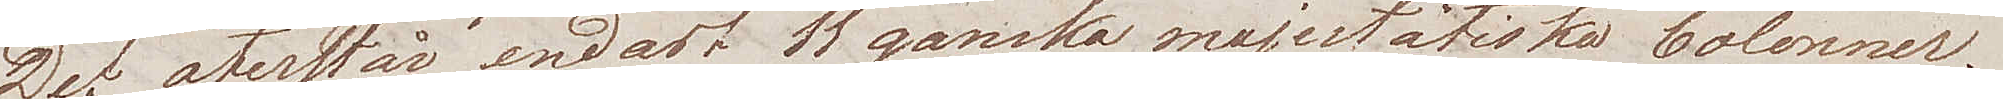Det återstår endast 11 ganska majestätiska Colonner.
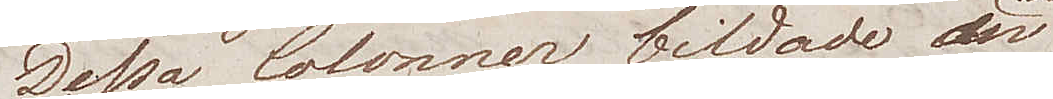Dessa Colonner bildade den
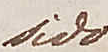sido¬
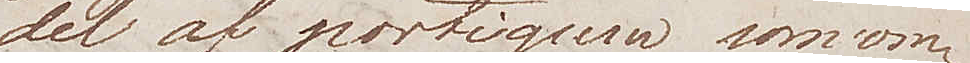del af portiquen som om¬
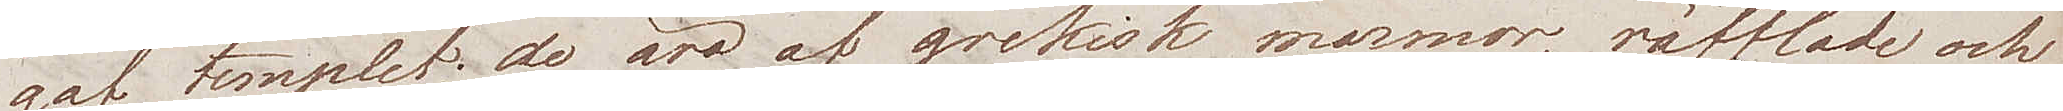gaf templet; de äro af grekisk marmor, räfflade och
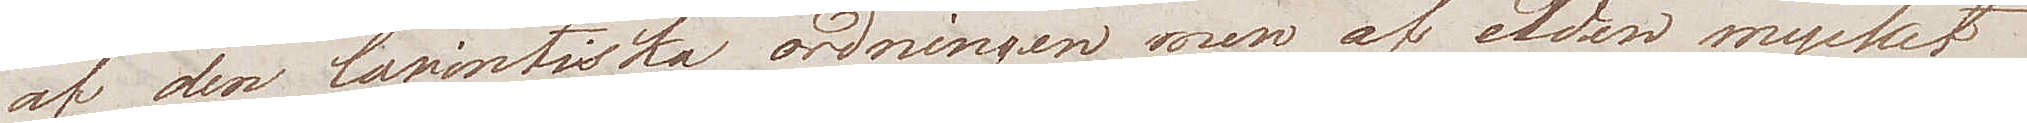af den korintiska ordningen, men af elden mycket
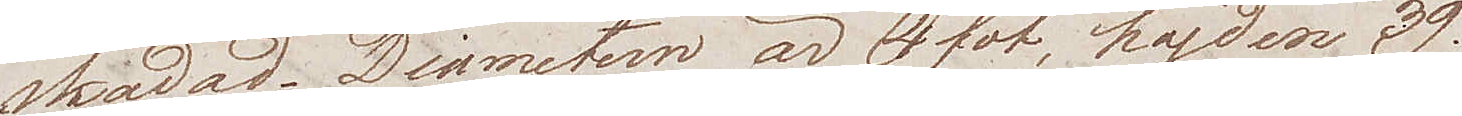skadad. Diametern är 4 fot, höjden 39.
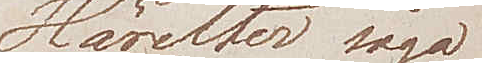Härefter sågo
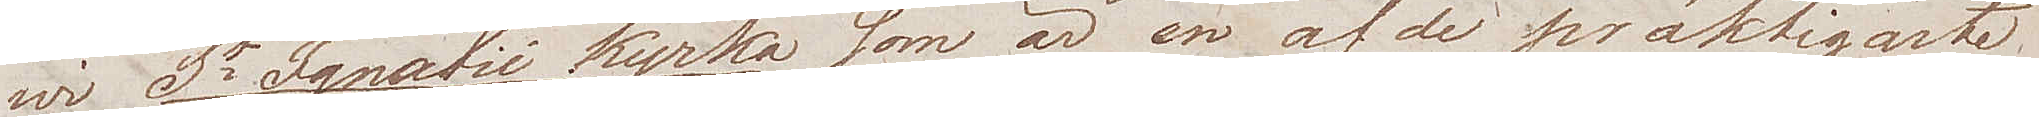wi St Ignatii kyrka som är en af de präktigaste
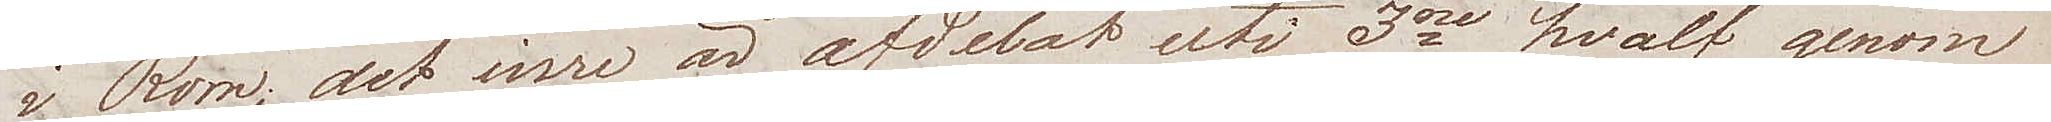i Rom, det inre är afdelat uti 3ne hvalf genom
